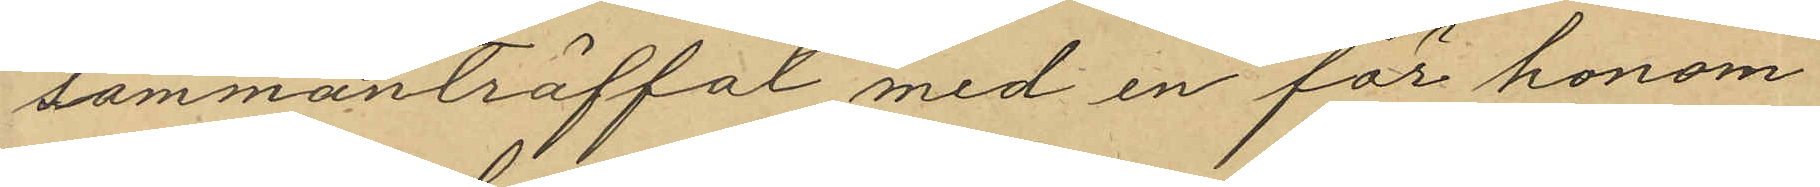sammanträffat med en för honom
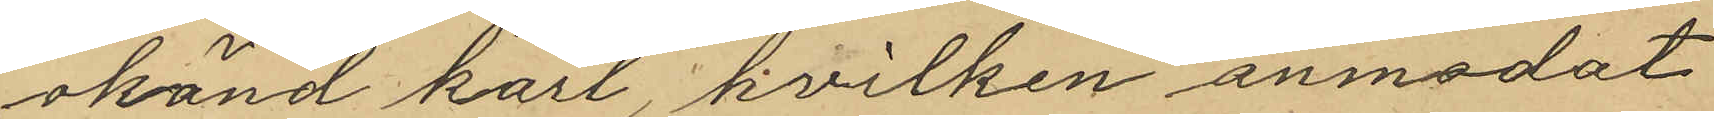okänd karl, hvilken anmodat
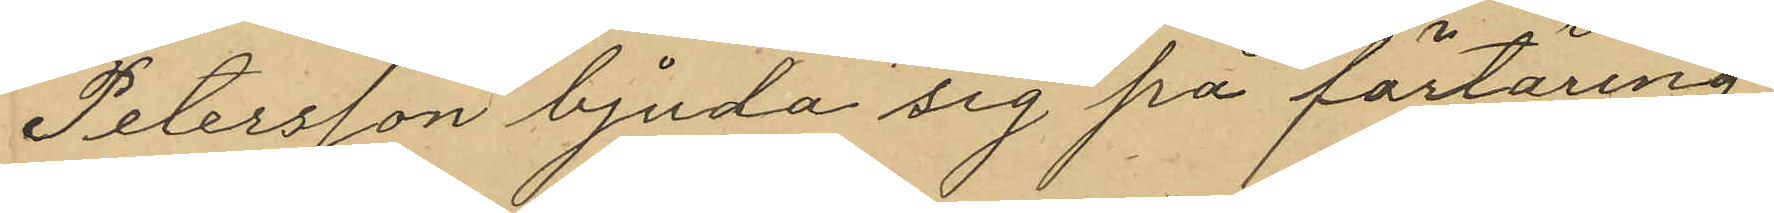Petersson bjuda sig på förtäring
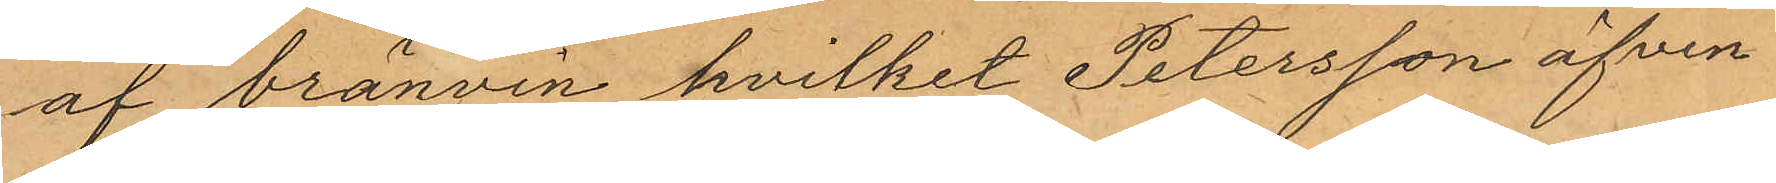af bränvin hvilket Petersson äfven
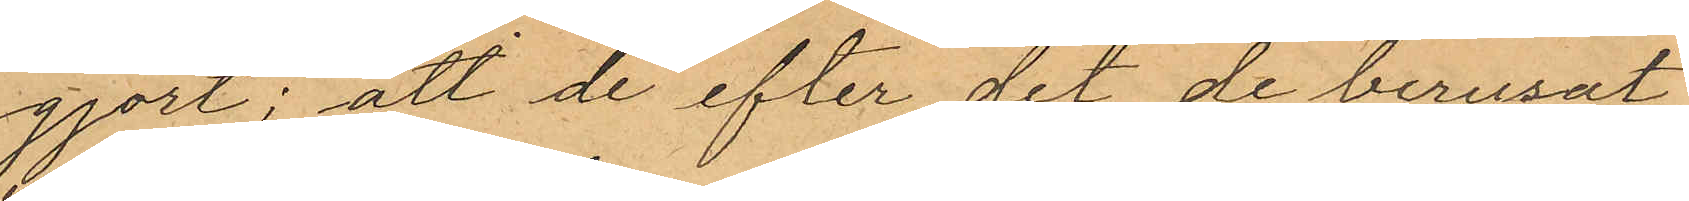gjort; att de efter det de berusat
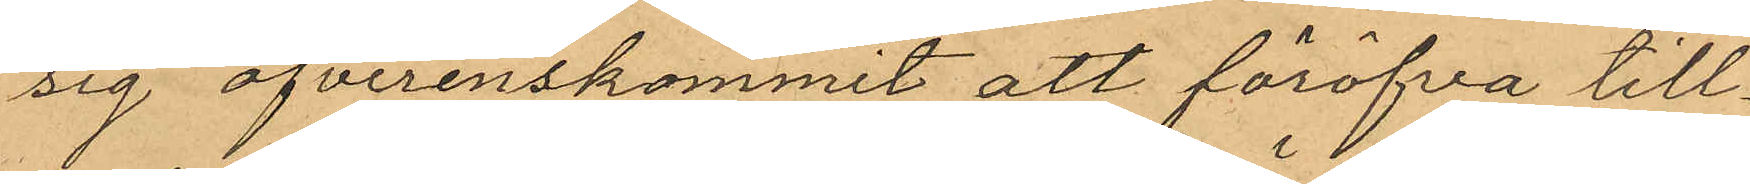sig öfverenskommit att föröfva till¬
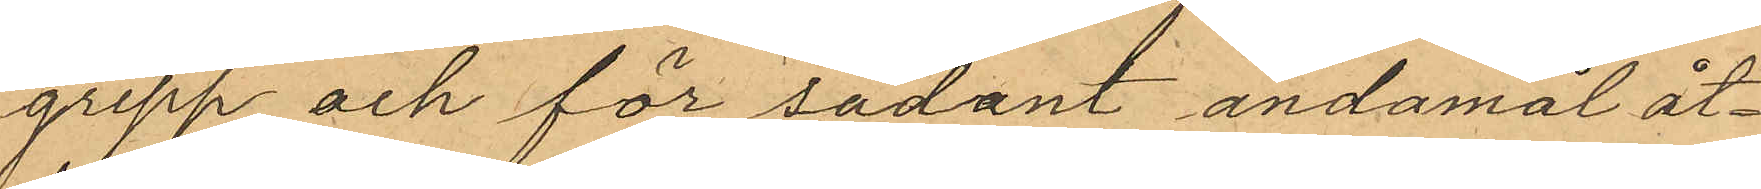grepp och för sådant ändamål åt¬
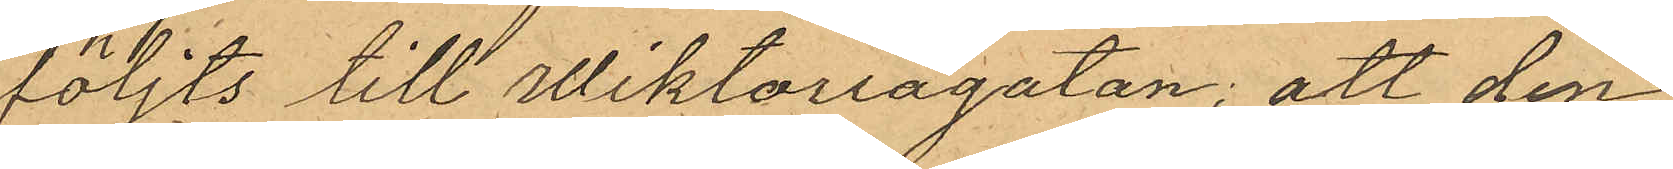följts till Wiktoriagatan; att den
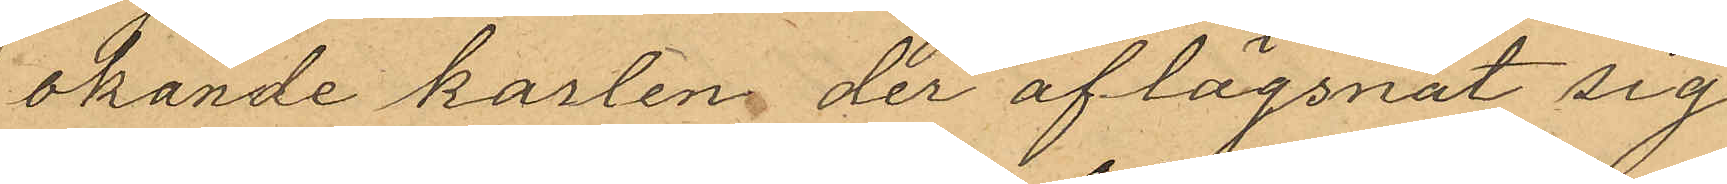okände kasten der aflägsnat sig
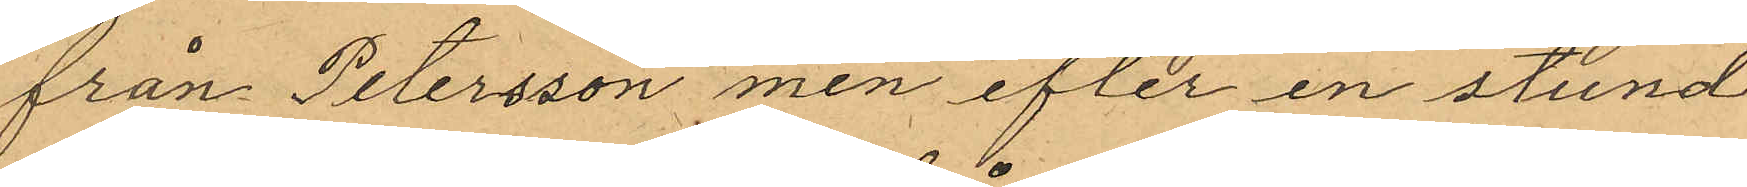från Petersson men efter en stund
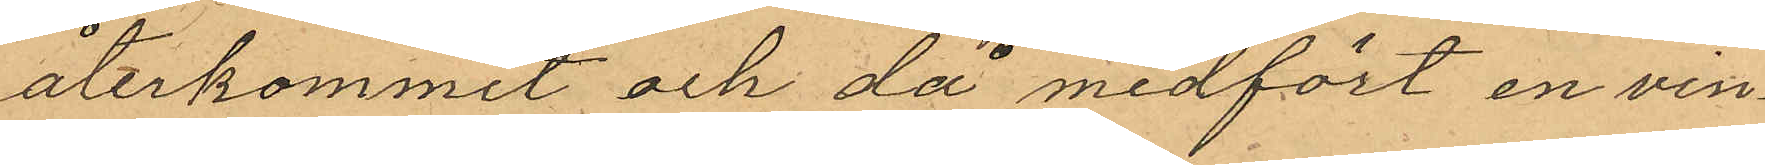återkommit och då medfört en vin¬
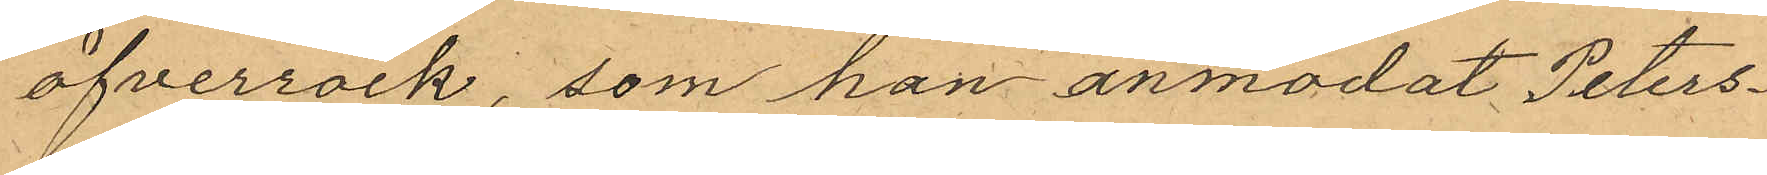öfverrock, som han anmodat Peters¬
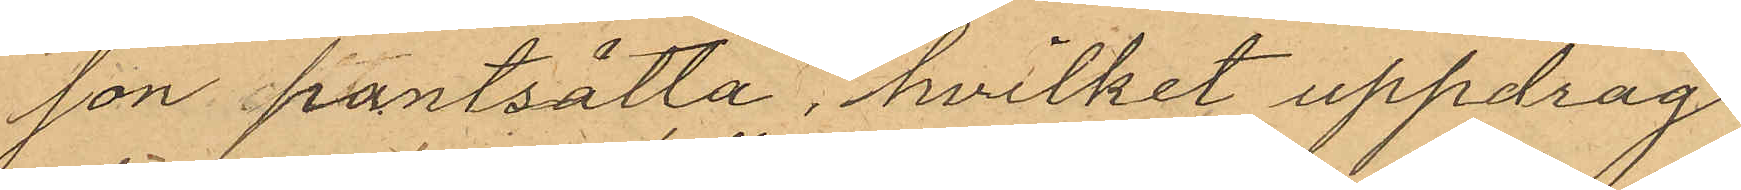son pantsätta, hvilket uppdrag
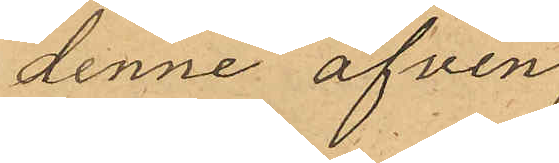denne äfven
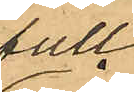full¬
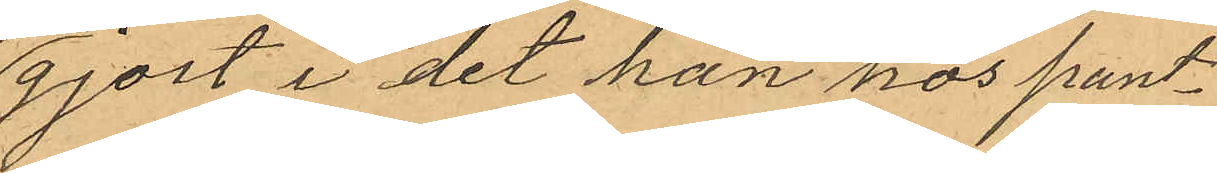gjort i det han hos pant¬
